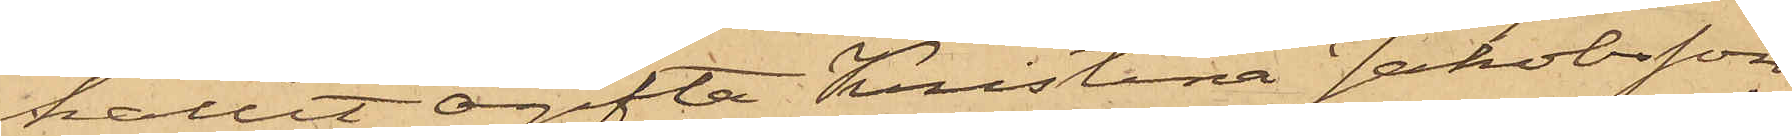hållit ogifta Kristina Jakobsson
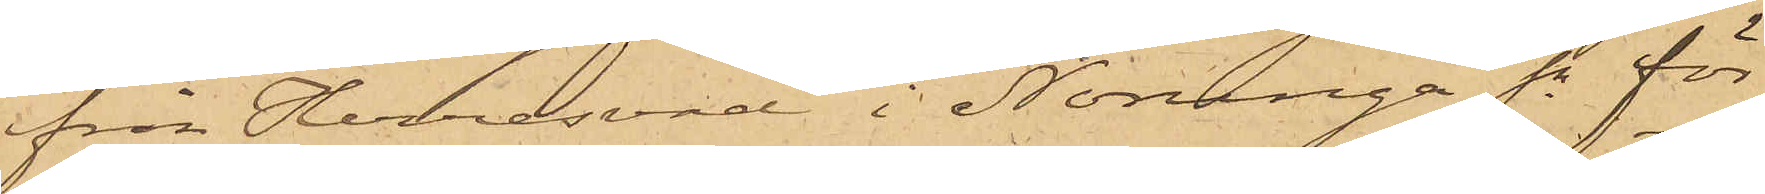från Herresvad i Norunga Sn för
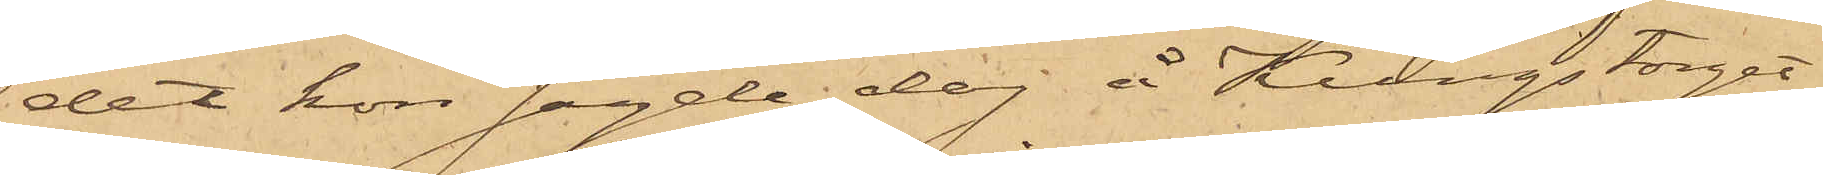det hon sagde dag å Kungstorget
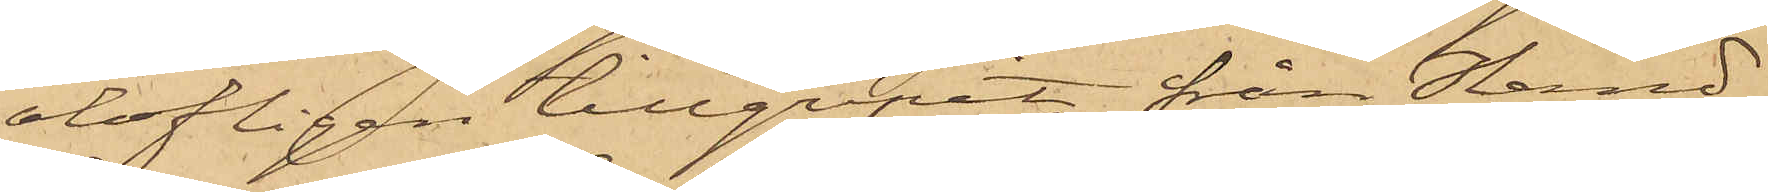olofligen tillgripit från Hand¬
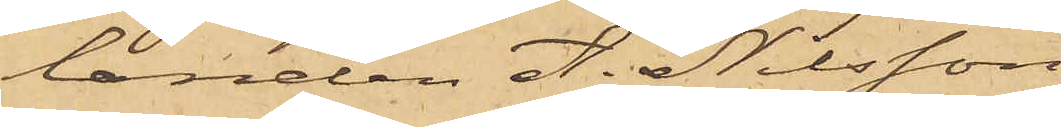landen A. Nilsson
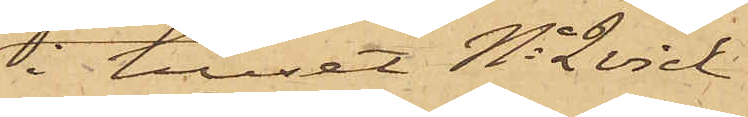i huset No 2 vid
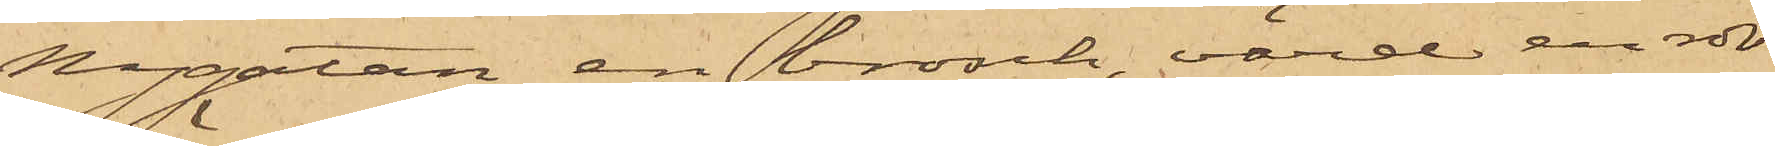Nygatan en brosch värd en rdr
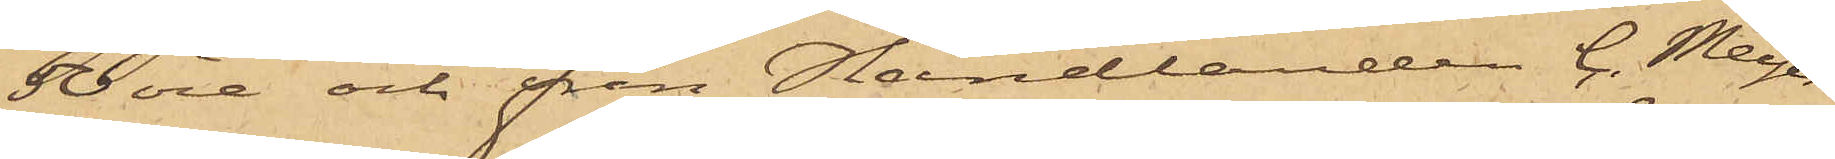50 öre och från Handlanden C. Meyer
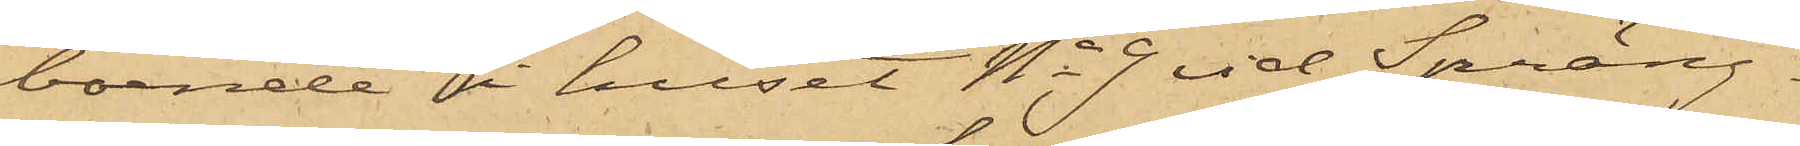boende i huset No 9 vid Spräng¬
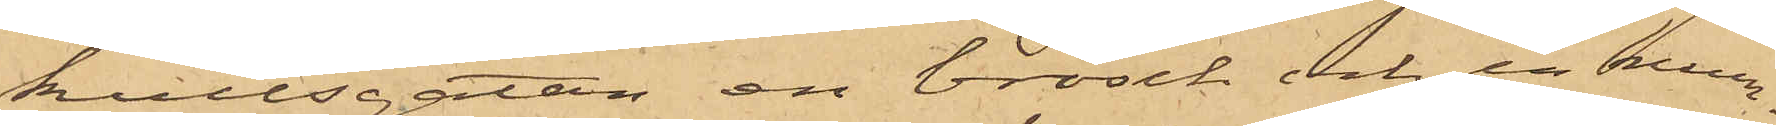kullsgatan en brosch och en mun¬
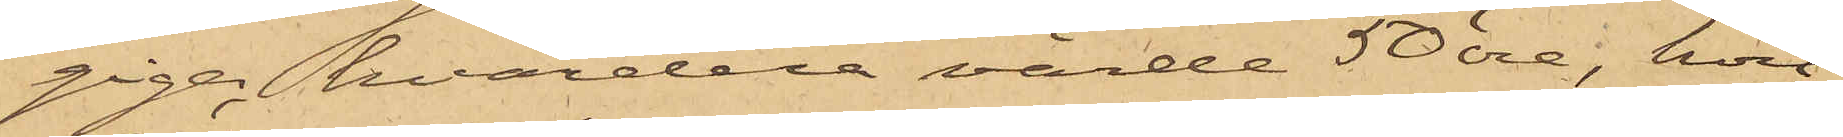giga, hvardera värda 50 öre, hvil¬
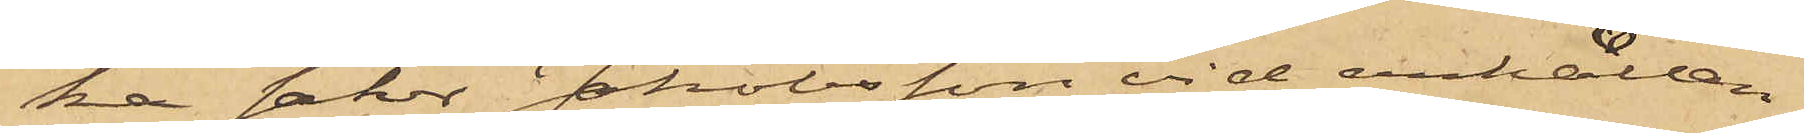ka saker Jakobsson vid anhållan¬
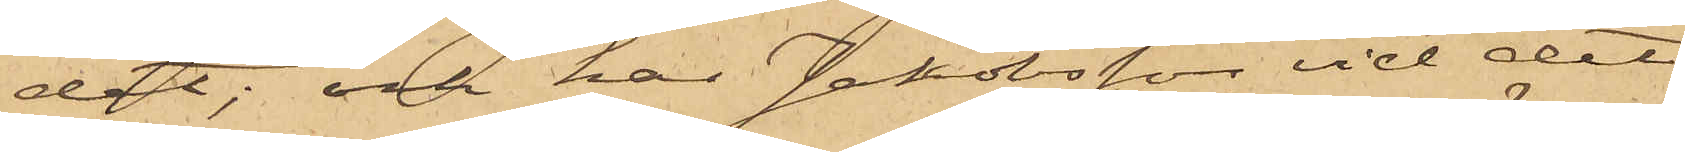det; och har Jakobsson vid det
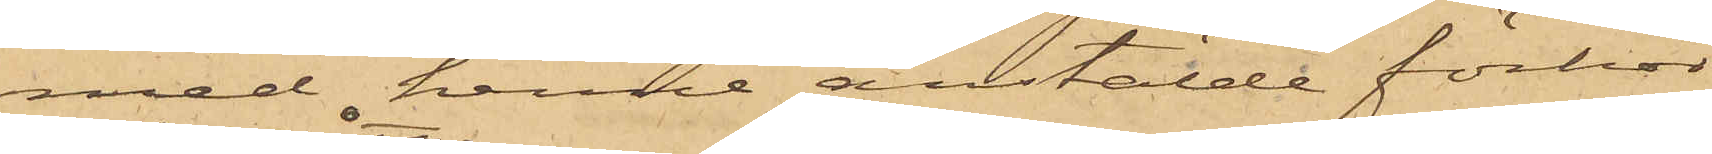med henne anstälde förhör
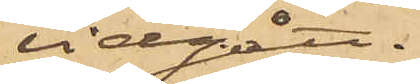vidgått,
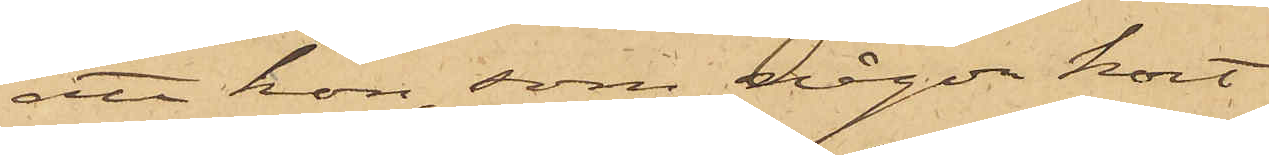att hon, som någon kort
